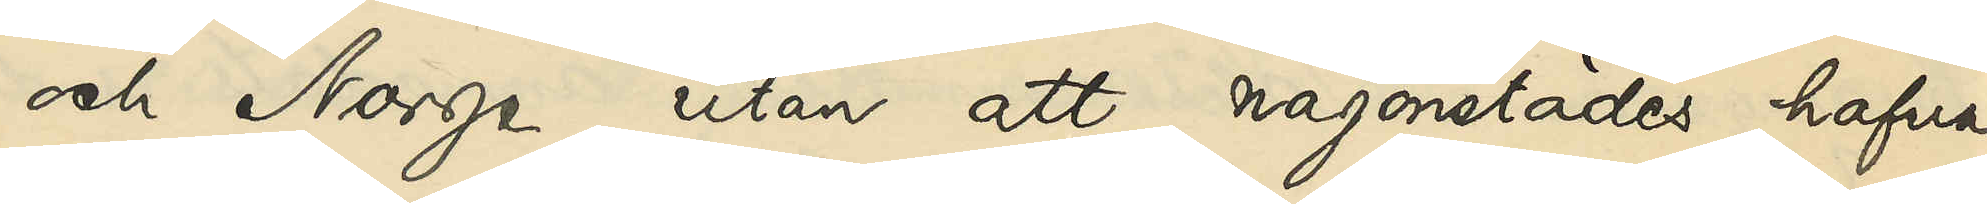och Norge utan att någonstädes hafva
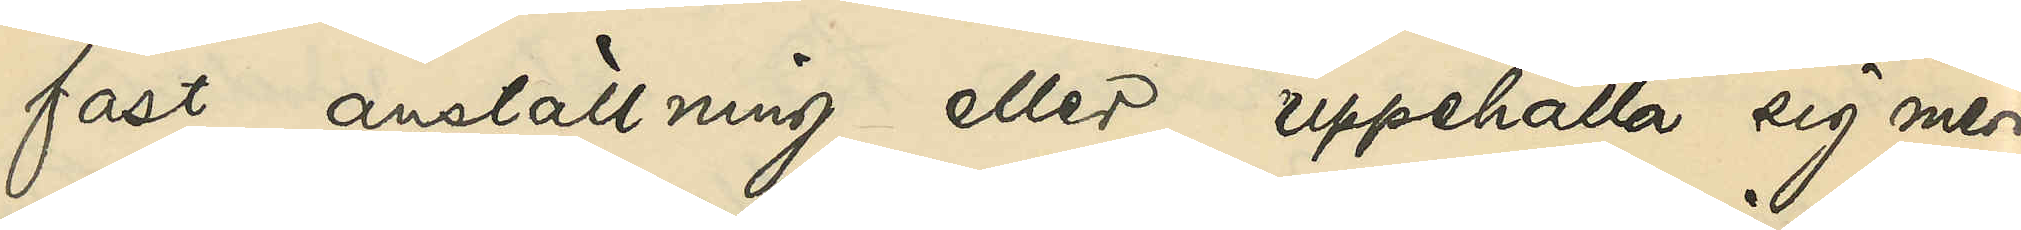fast anställning eller uppehålla sig mera
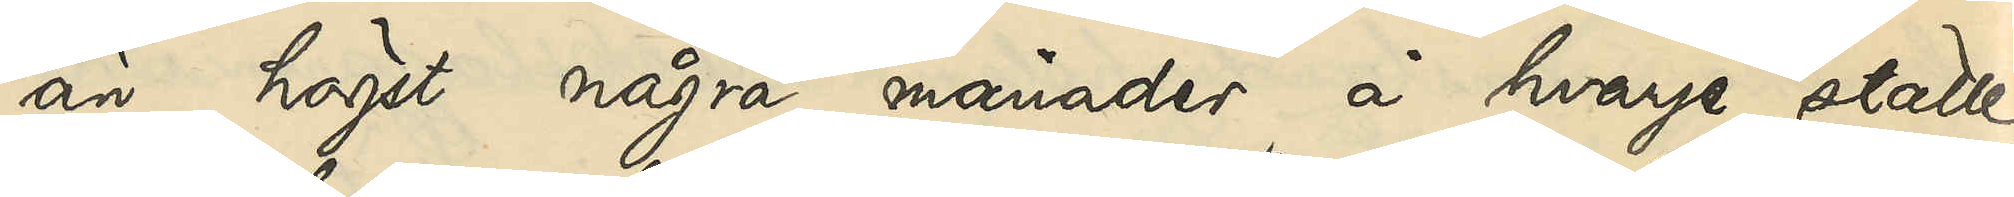än högst några månader å hvarje ställe;
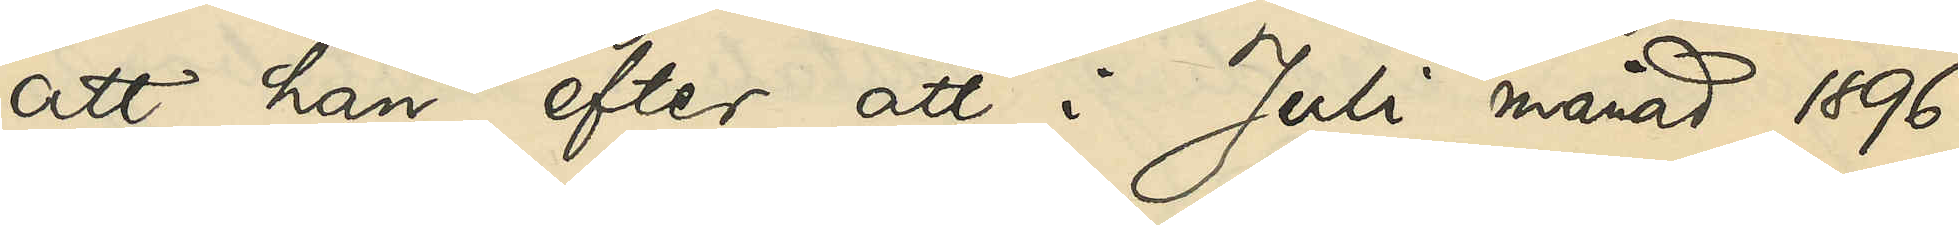att han efter att i Juli månad 1896
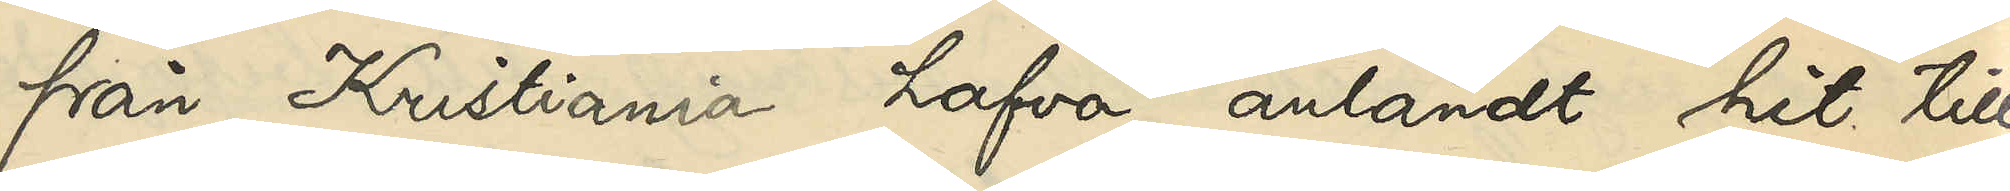från Kristiania hafva anländt hit till
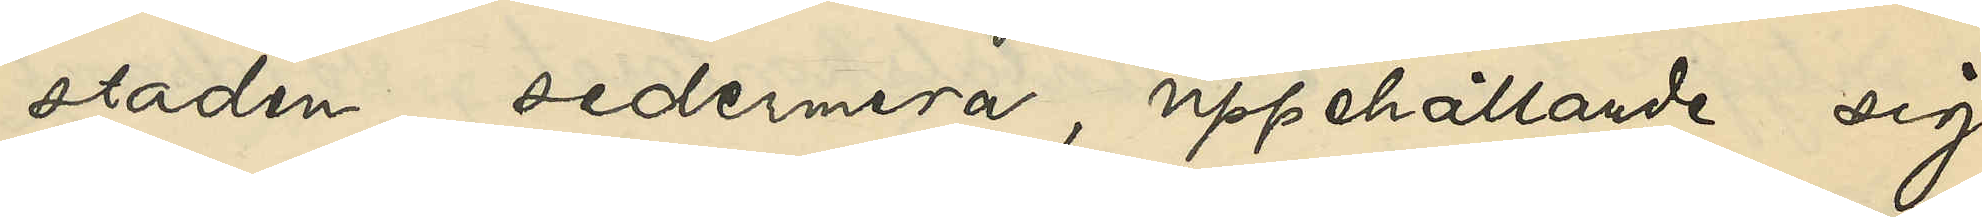staden, sedermera, uppehållande sig
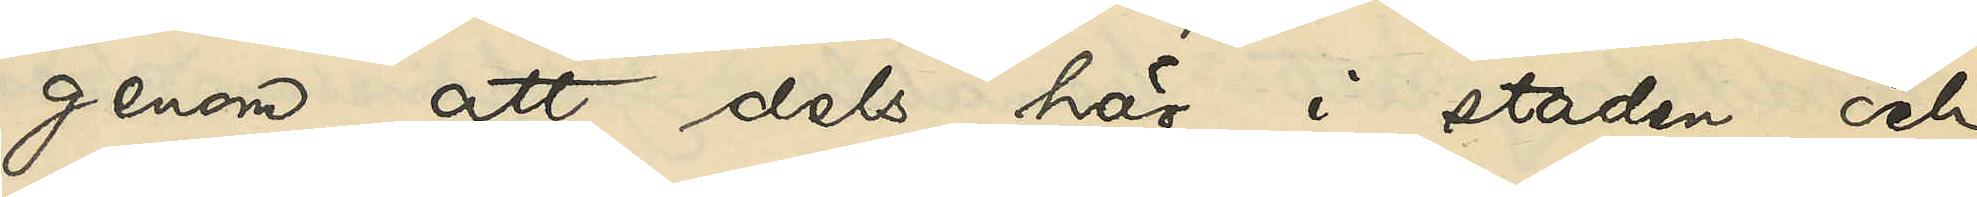genom att dels här i staden och
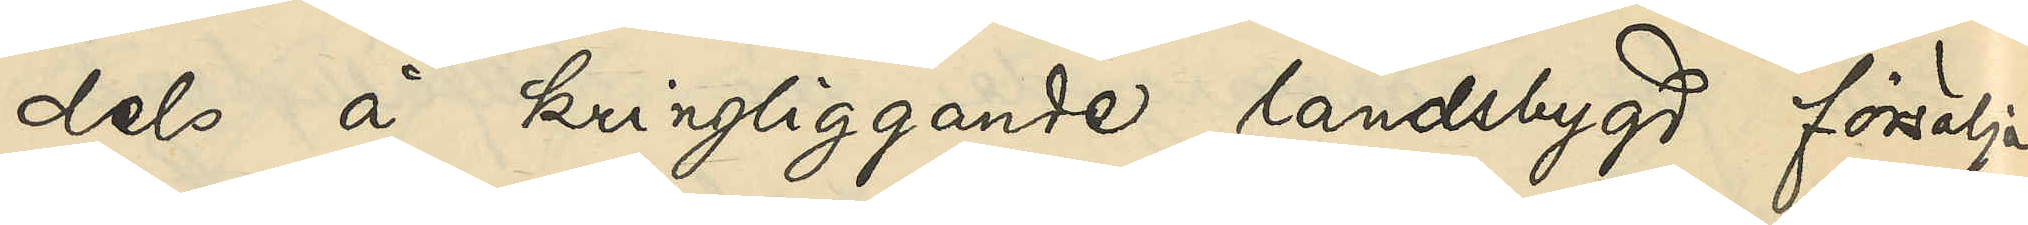dels å kringliggande landsbygd försälja
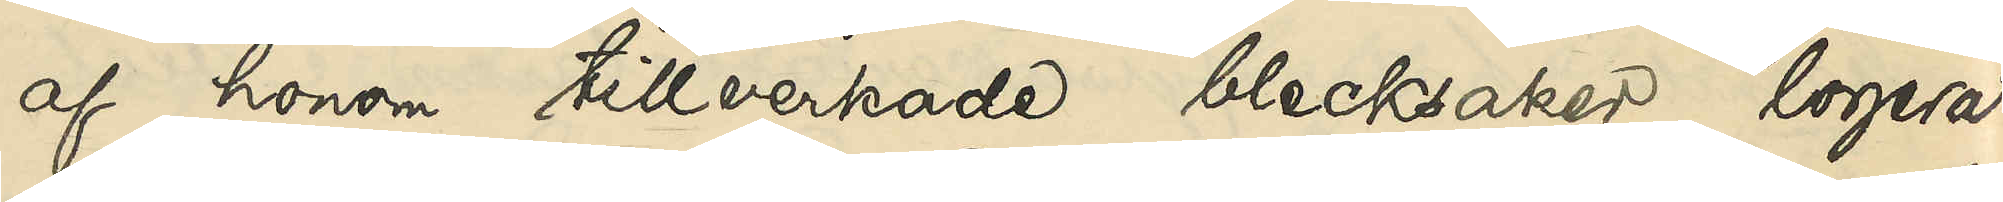af honom tillverkade blecksaker, logerat
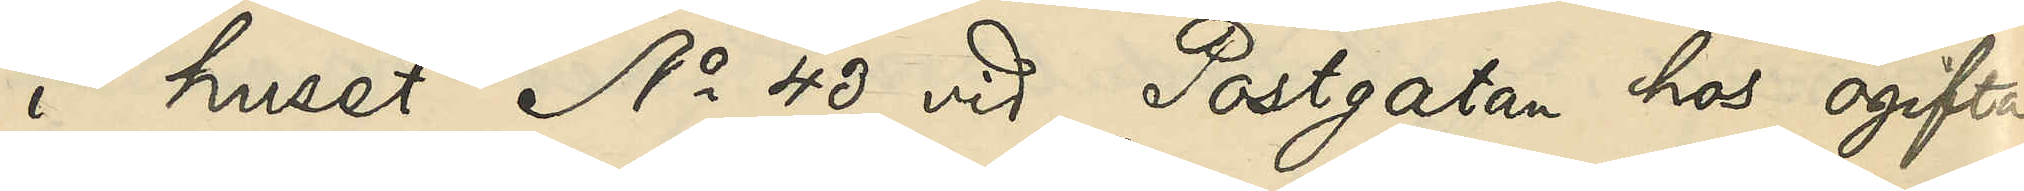i huset No 40 vid Postgatan hos ogifta
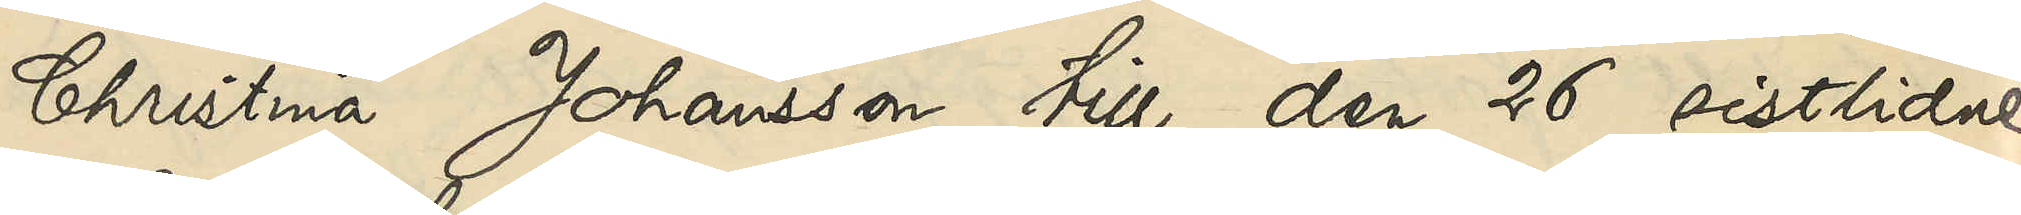Christina Johansson till den 26 sistlidne
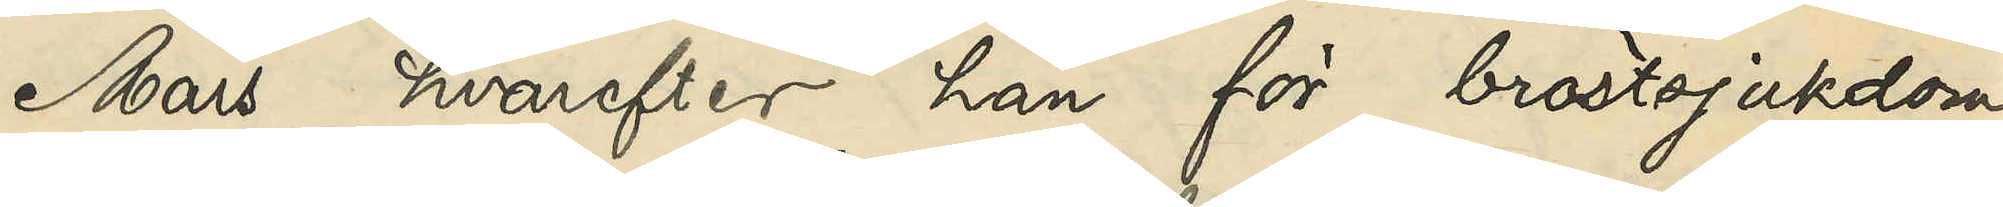Mars, hvarefter han för bröstsjukdom
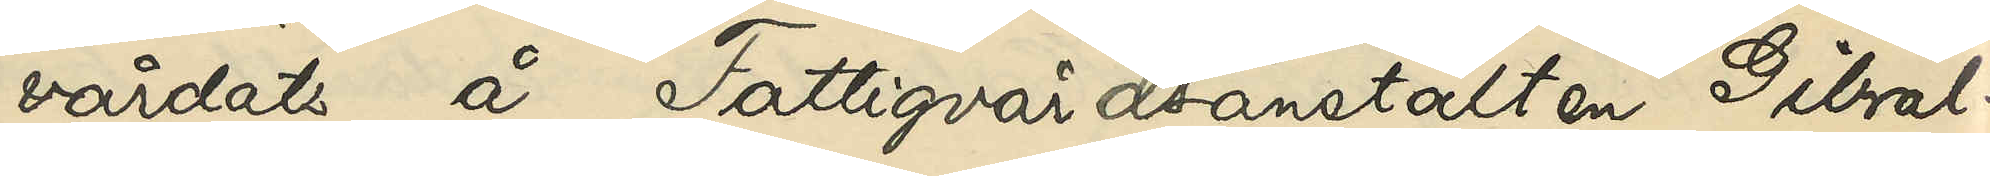vårdats å Fattigvårdsanstalten Gibral¬
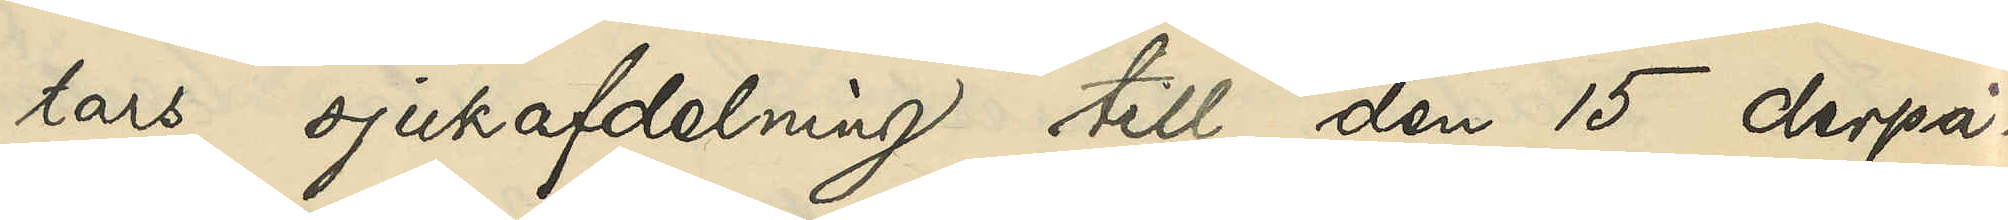tars sjukafdelning till den 15 derpå¬
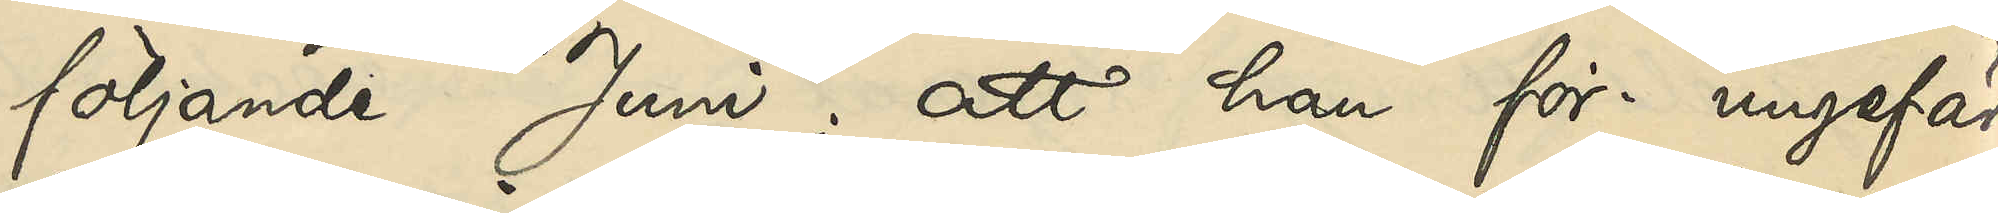följande Juni; att han för ungefär
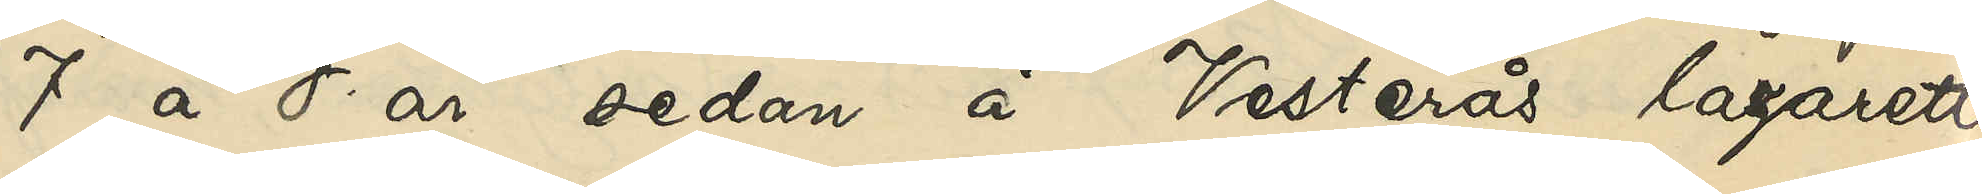7 à 8 år sedan å Vesterås lazarett
